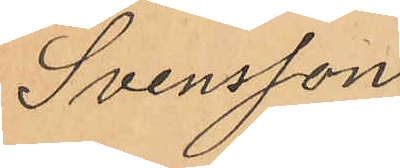Svensson
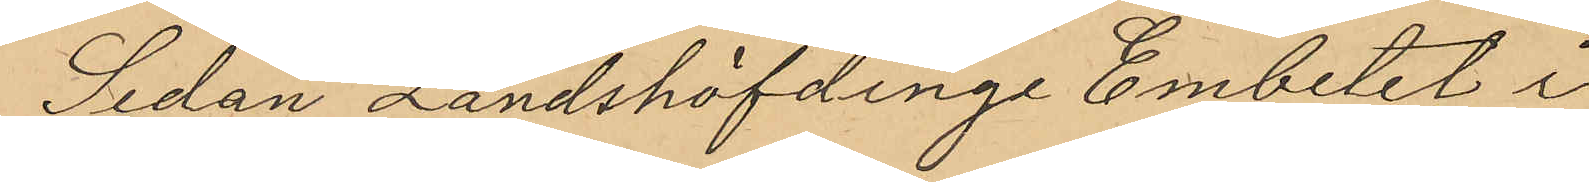Sedan Landshöfding Embetet i
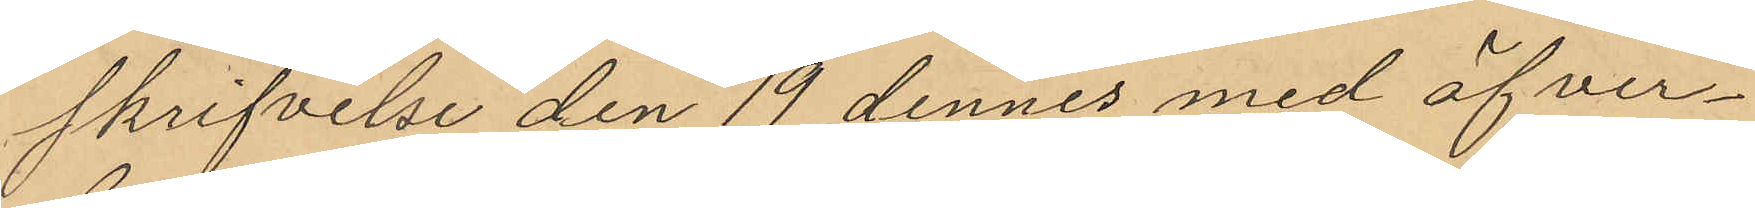skrifvelse den 19 dennes med öfver¬
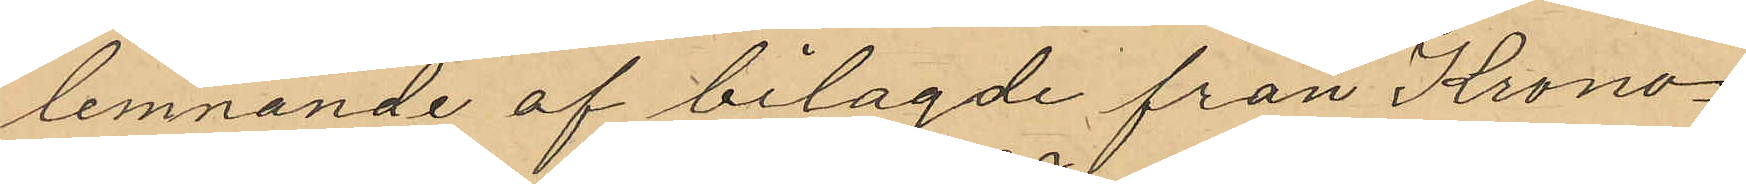lemnande af belagde från Krono¬
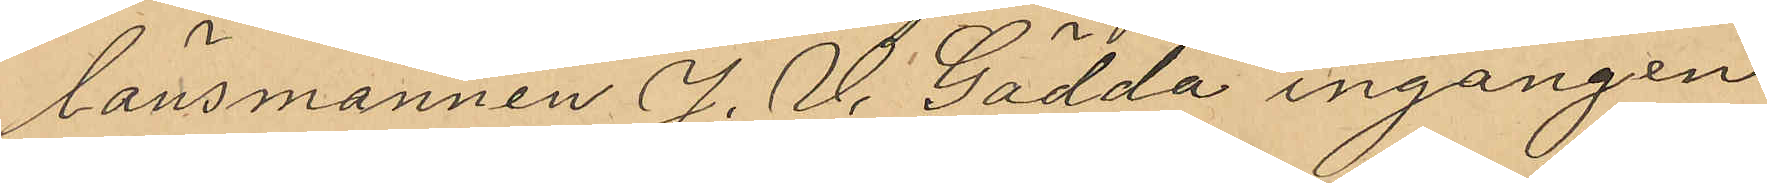länsmannen J. V. Gädda ingången
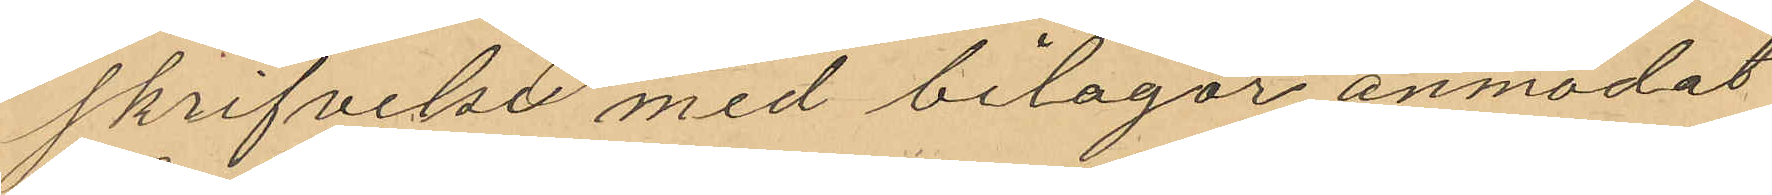skrifvelse med bilagor anmodat
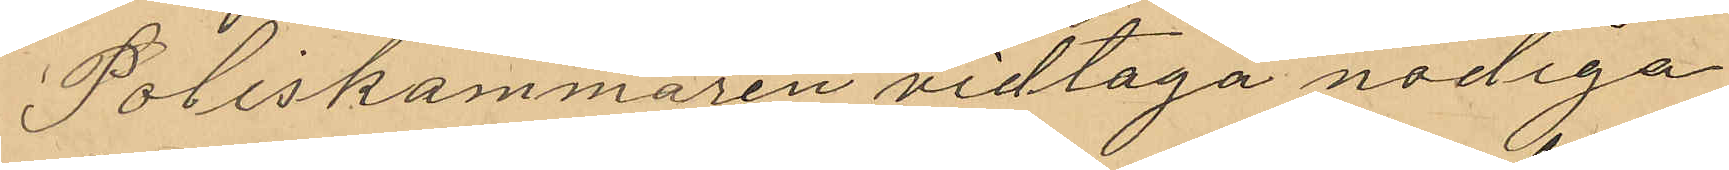Poliskammaren vidtaga nödiga
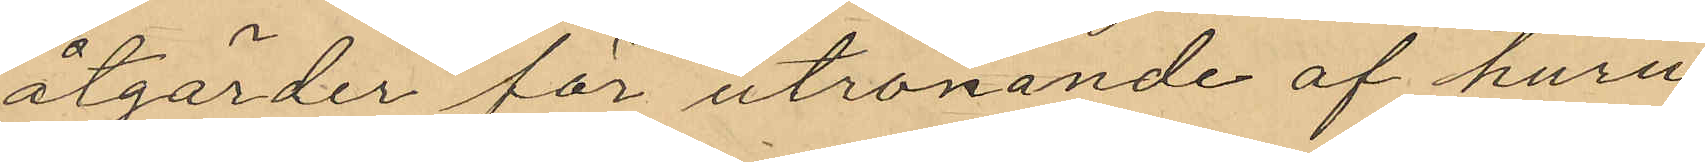åtgärder för utrönande af huru
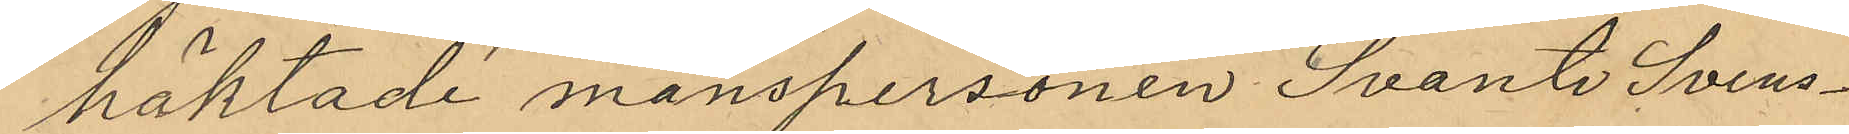häktade manspersonen Svante Svens¬
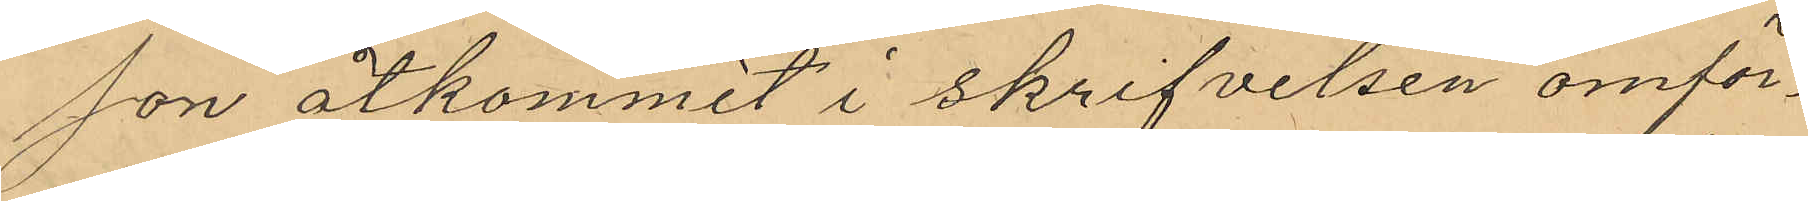son åtkommit i skrifvelsen omför¬
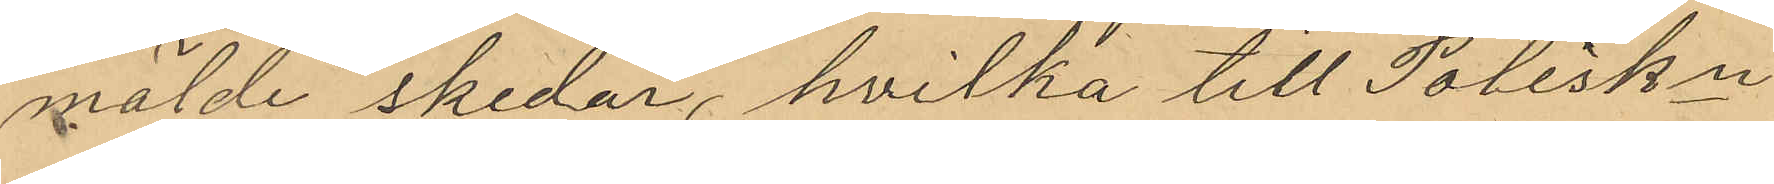mälde skedar, hvilka till Poliskn
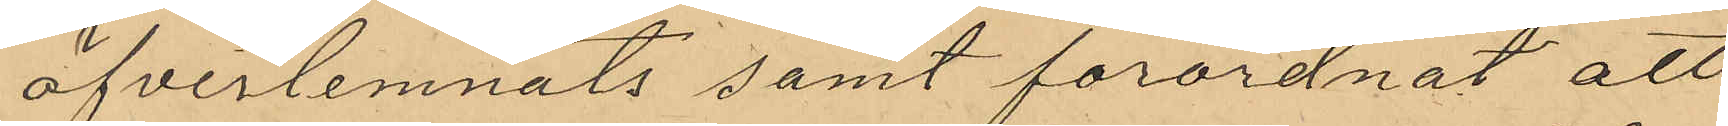öfverlemnats samt förordnat att
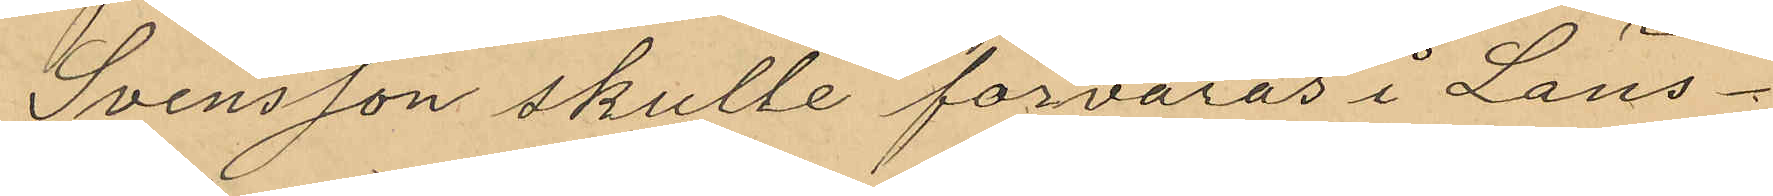Svensson skulle förvaras i Läns¬
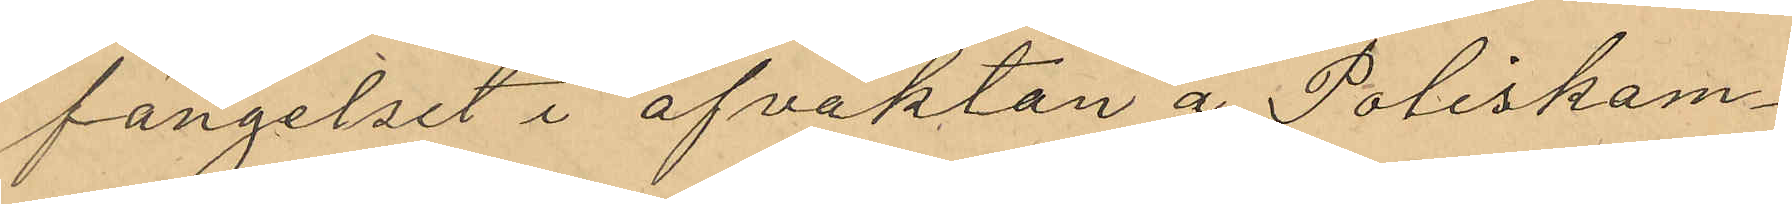fängelset i afvaktan å Poliskam¬
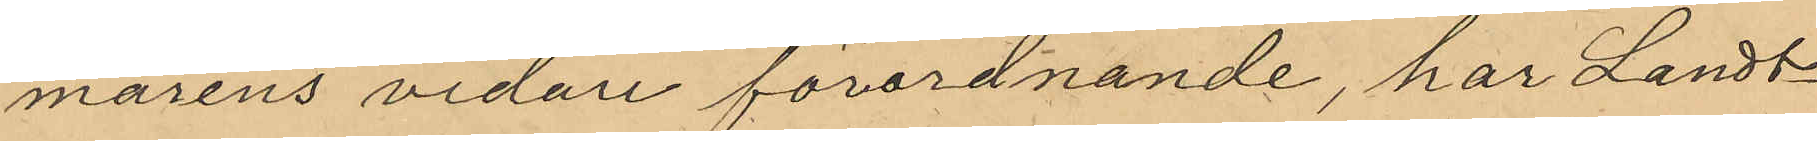marens vidare förordnande, har Landt¬
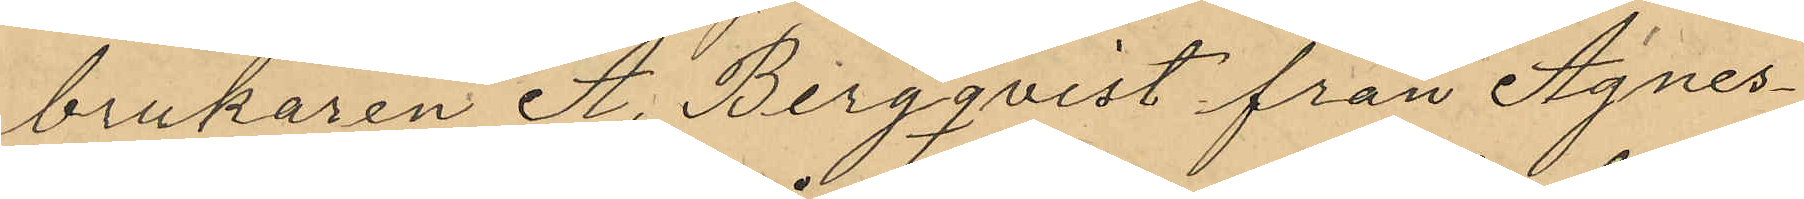brukaren A. Bergqvist från Agnes¬
